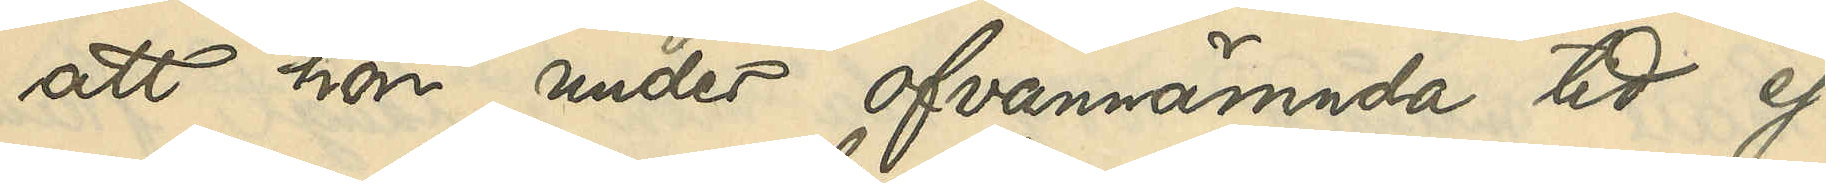att hon under ofvannämnda tid ej
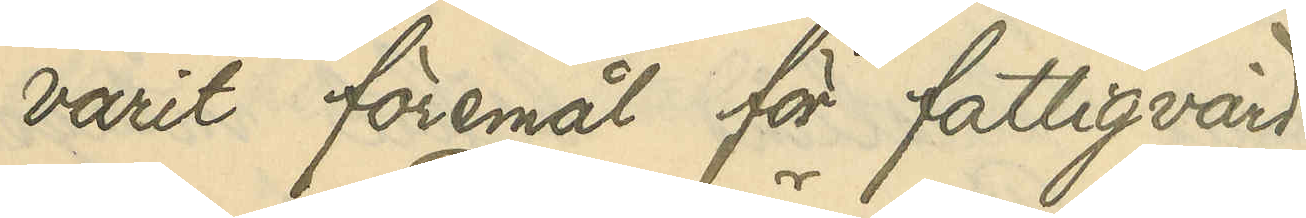varit föremål för fattigvård.
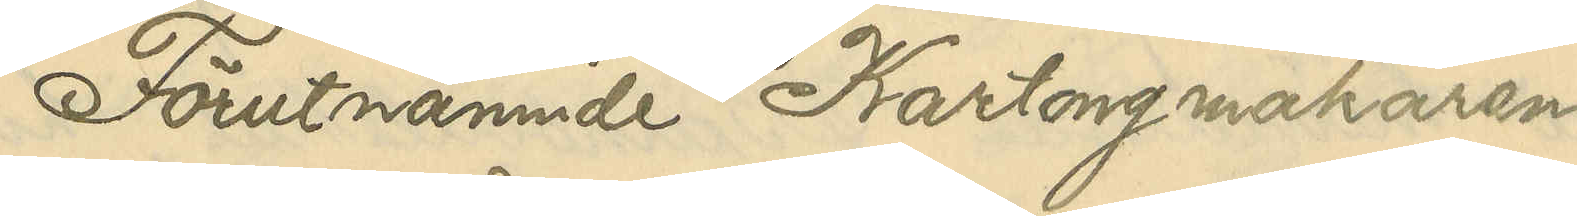Förutnämnde Kartongmakaren
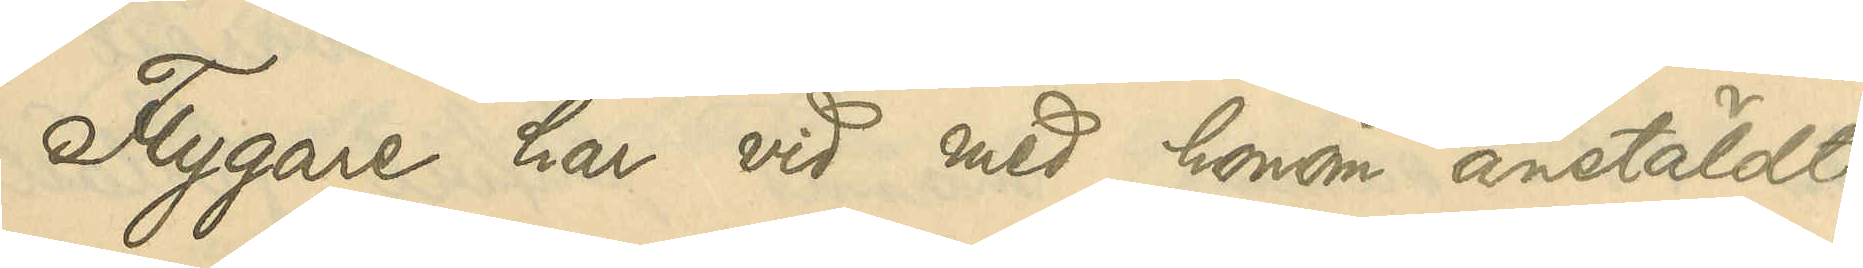Flygare har vid med honom anstäldt
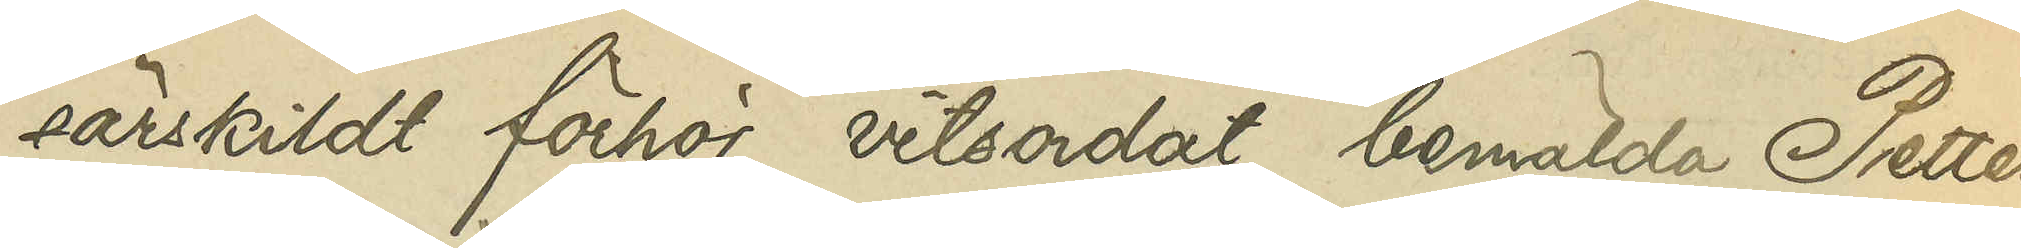särskildt vitsordat bemälda Petters¬
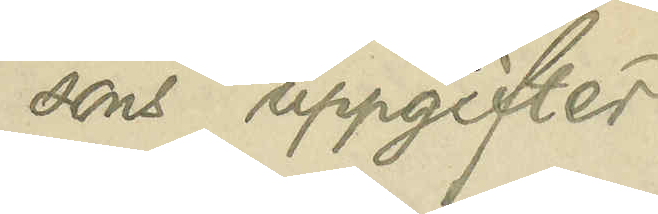sons uppgifter.
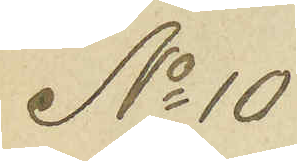No 10
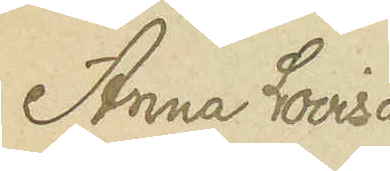Anna Lovisa
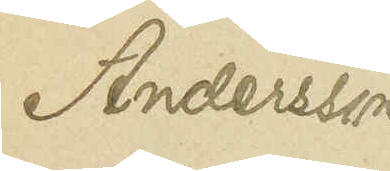Andersson
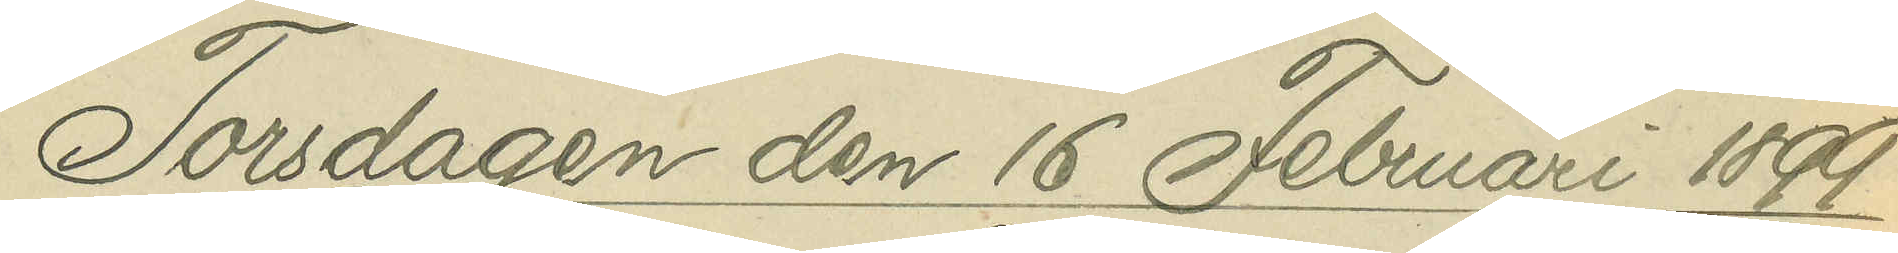Torsdagen den 16 Februari 1899.
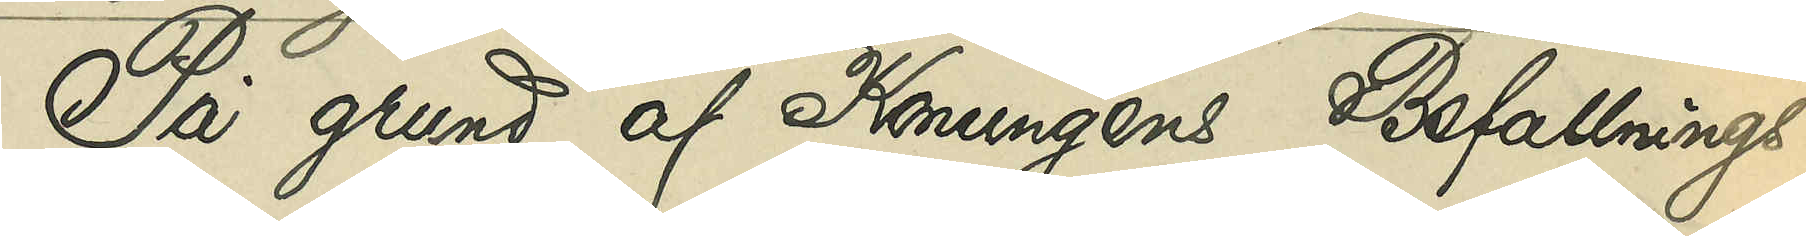På grund af Konungens Befallnings¬
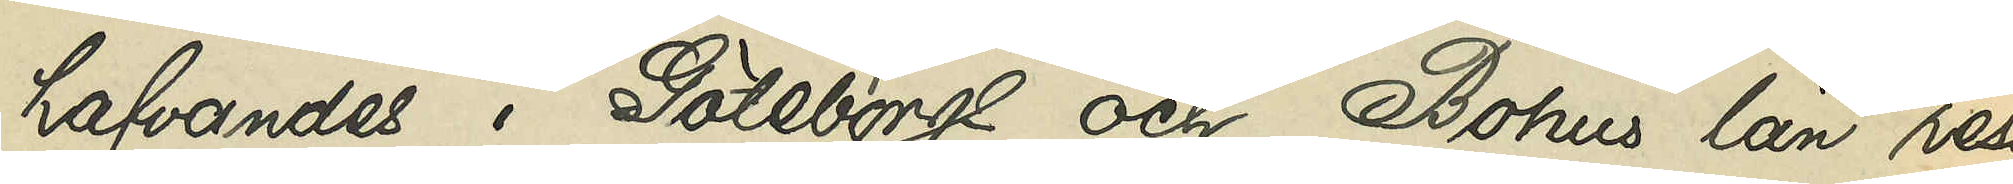hafvandes i Göteborgs och Bohus län reso¬
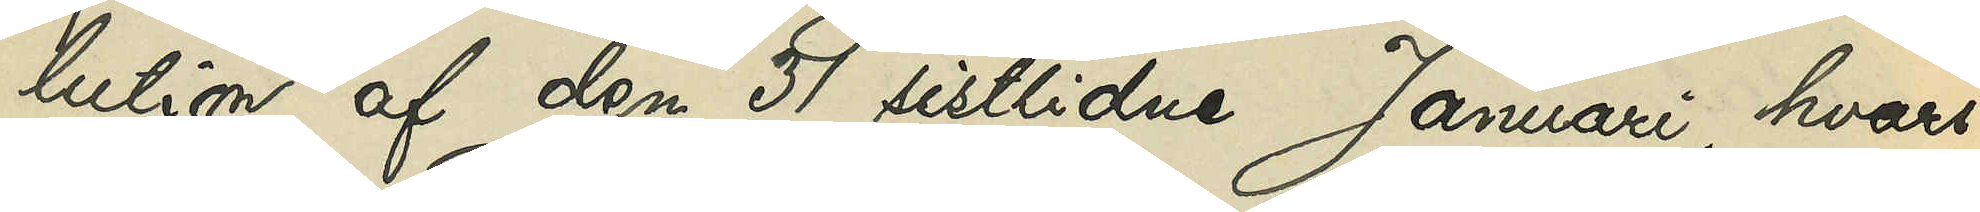lution af den 31 sistlidne Januari, hvari¬
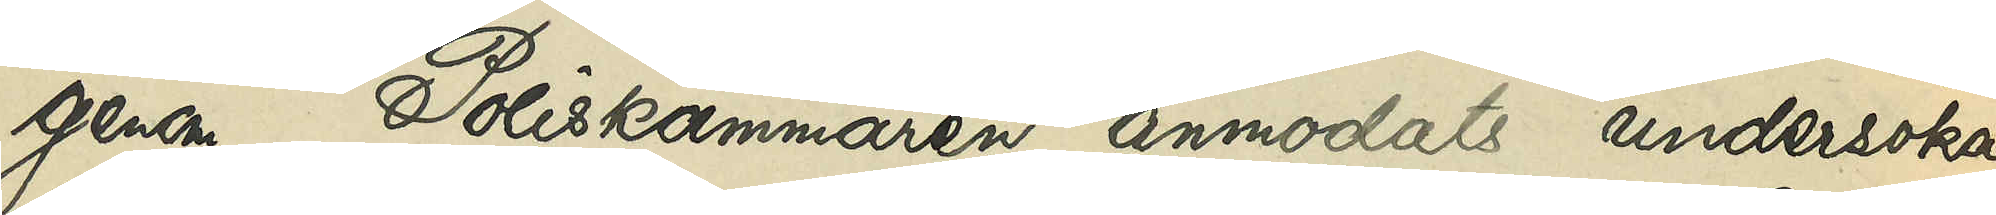genom poliskammaren anmodats undersöka,
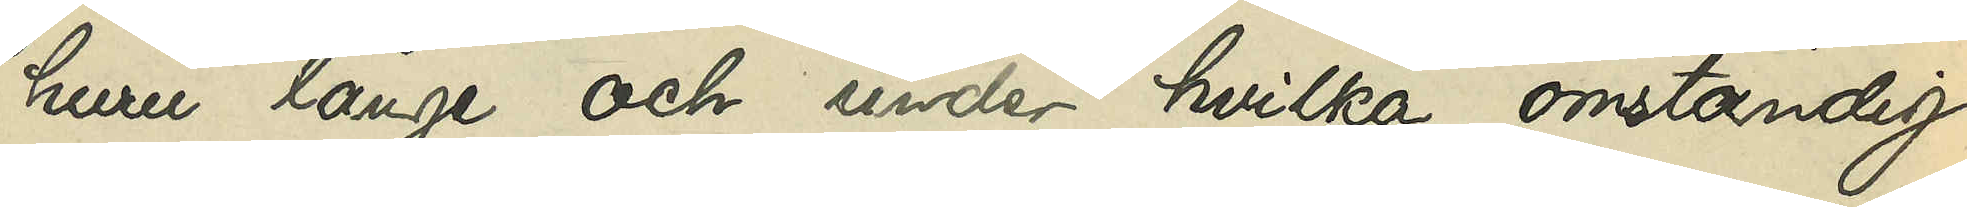huru länge och under hvilka omständig¬
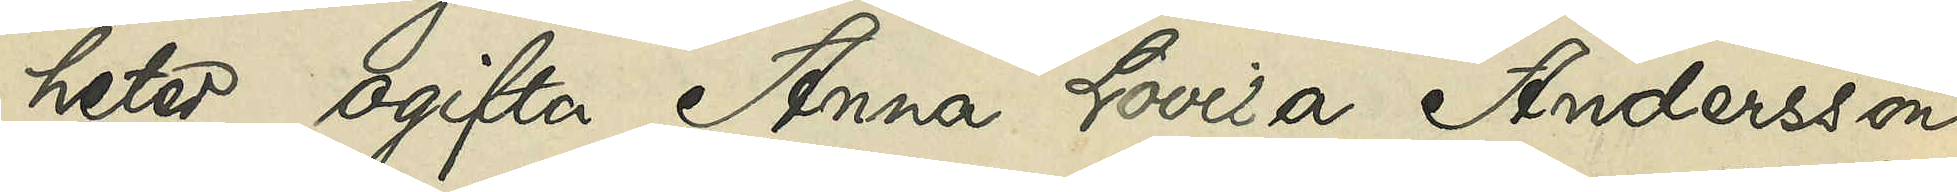heter ogifta Anna Lovisa Andersson
